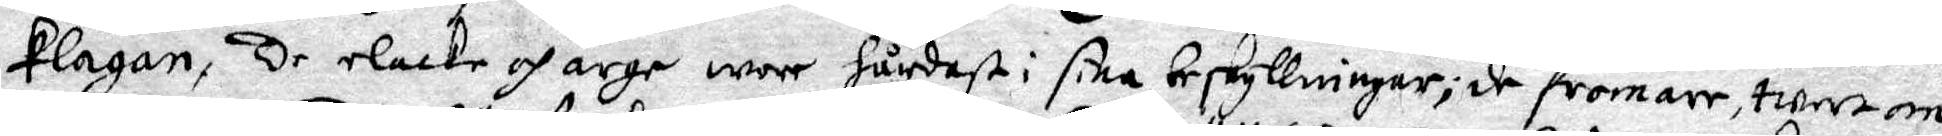klagan, De elacke och arge wore hårdast i sina beskyllningar; de fromare twertom 
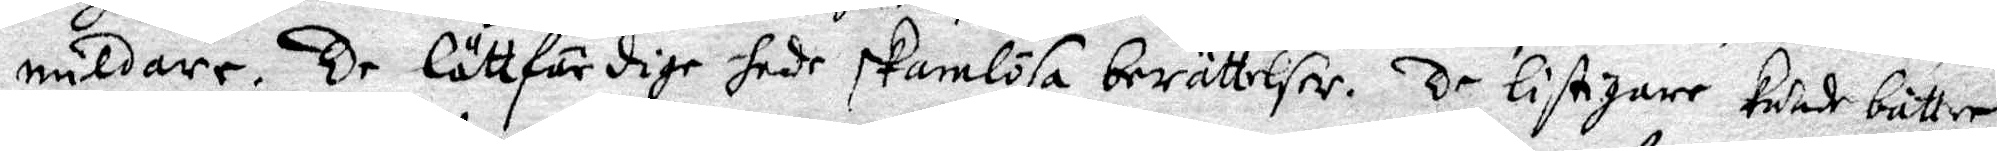mildare. De lätfärdige hade skamlösa berättelser. De listigare kunde bättre
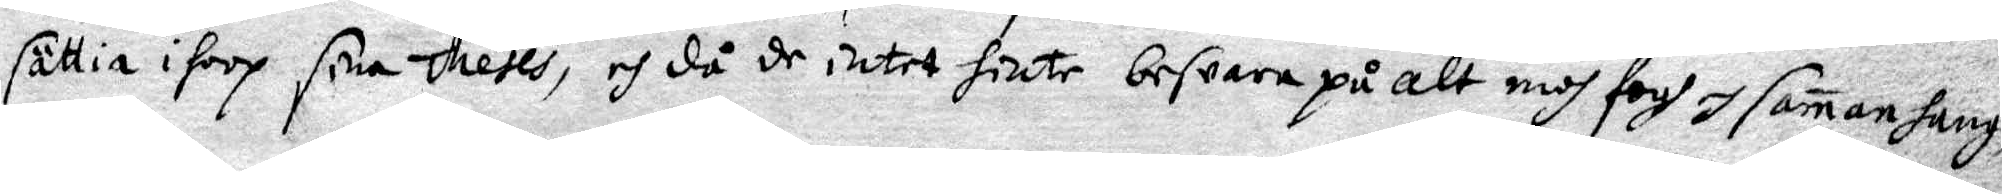sättia ihoop sine theses, och då de intet hinte besvara på alt medh fogh och samanhang,
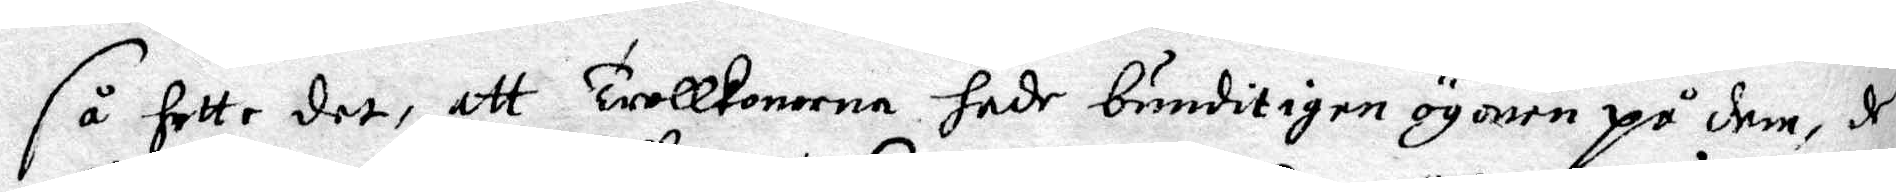så hette det, att Trollkonorna hade bundit igen ögonen på dem, de
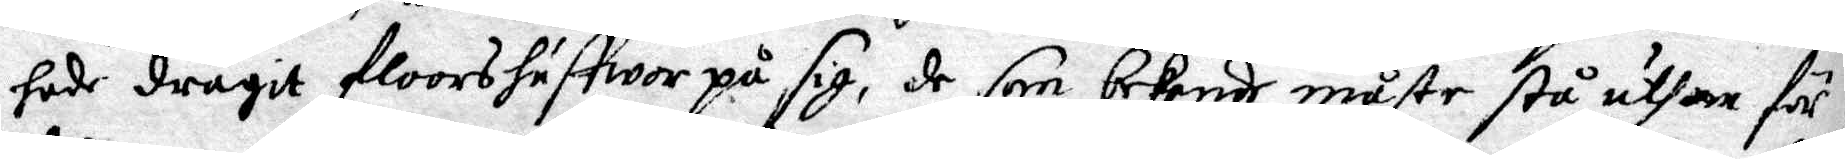hade dragit floorshuffwor på sig, de som bekende måste stå uthan för
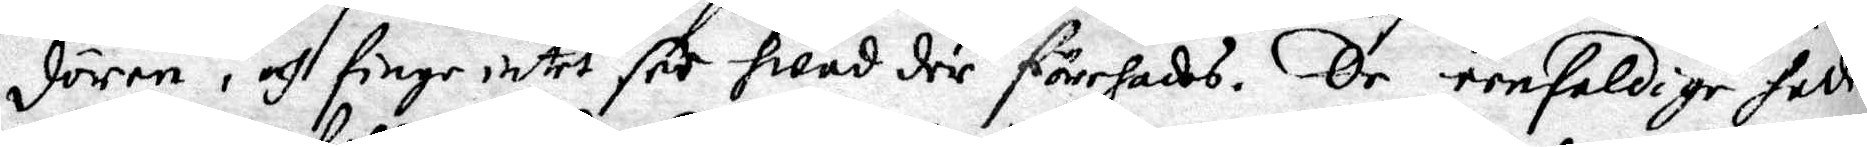dören, och finge intet för hwad der förehades. De eenfaldige hade
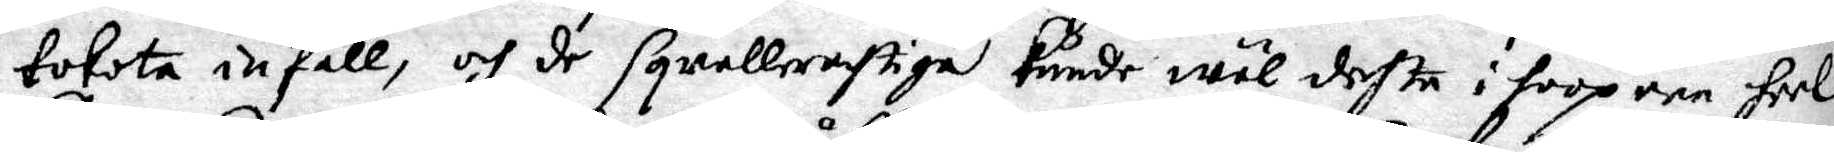tokota infall, och de sqwallerahtige kunde wäl deste i hoop een heel
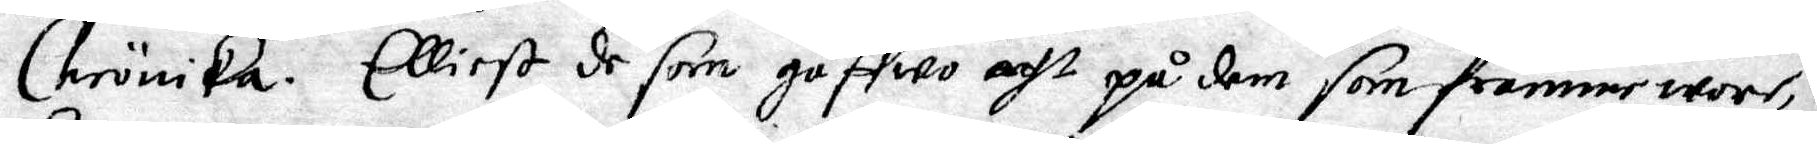Chrönika. Elliest de som gåffwo acht på dem som framme wore,
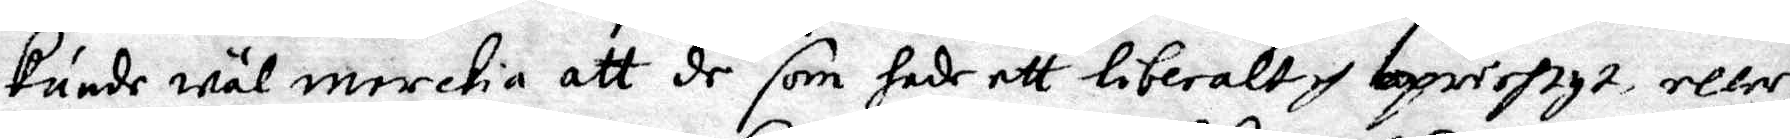kunde wäl merckia att de som hade ett liberalt och opnosigt eller och
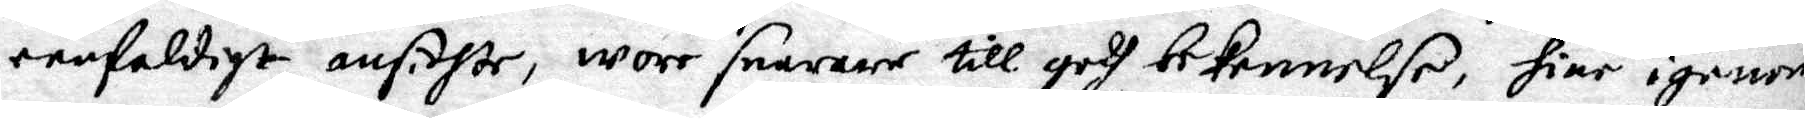eenfaldigt ansichte, wore snarare till godh bekennelse, hine igenom
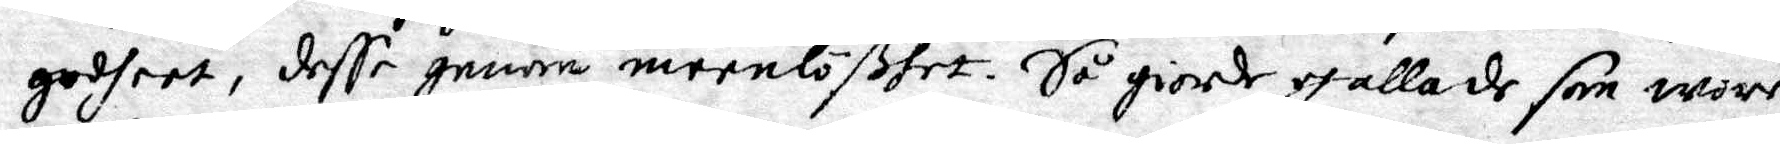godheet, desse genom meenlößhet. Så giorde och alla de som wore
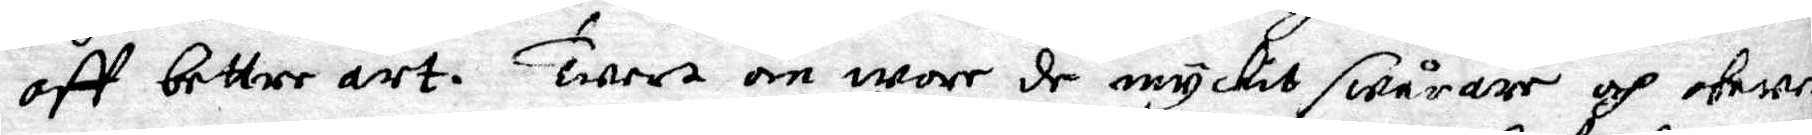aff bettre art. Twert om wore de myckit swårare och obewekli¬
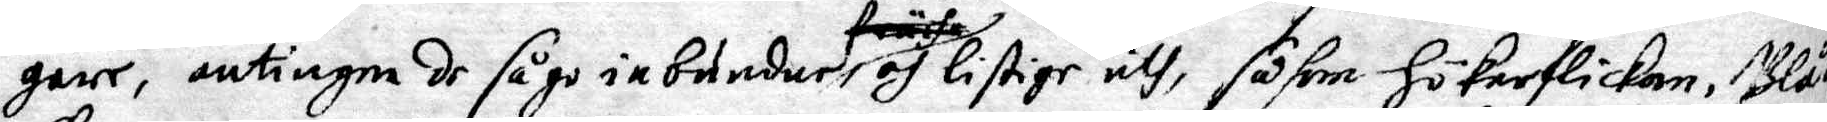gare, antingen de såge inbundne och listige uth, såsom hökarflickan, Blå¬
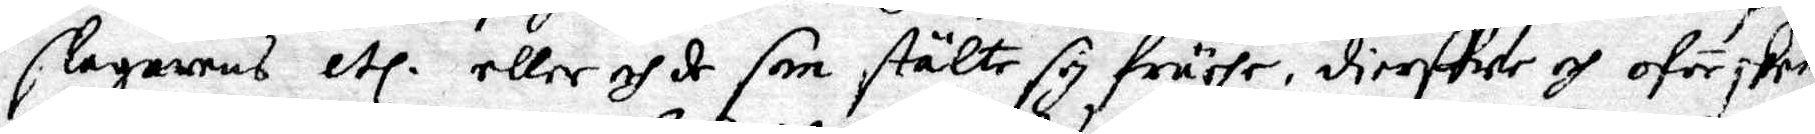slagarens etc. eller och de som stälte sig fruehr, dierffwe och oförskonade
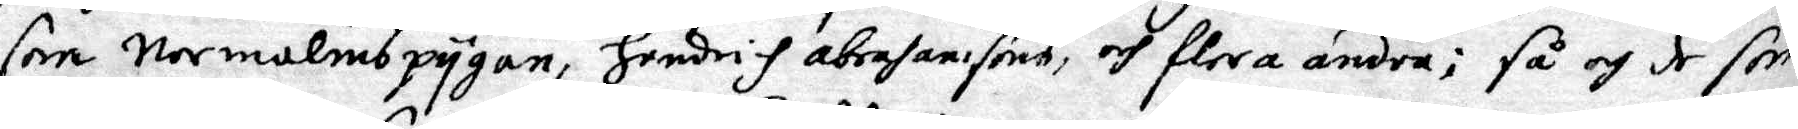som Normalmspygan, Hendrih Abrahamsons, och flera andra; så och de som
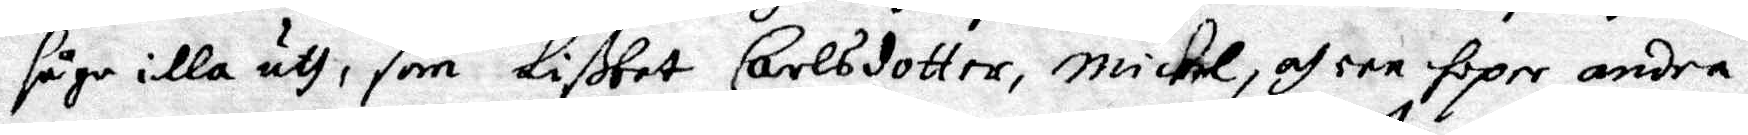såge illa uth, som Lißbet Carlsdotter, Michel, och een hoper andra:
